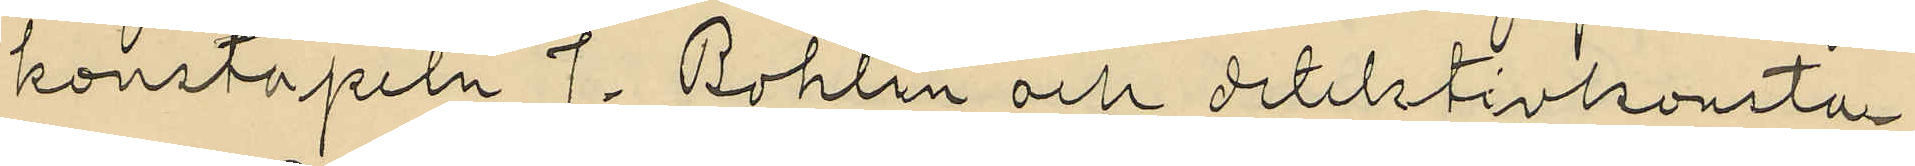konstapeln J. Bohlin och detektivkonsta¬
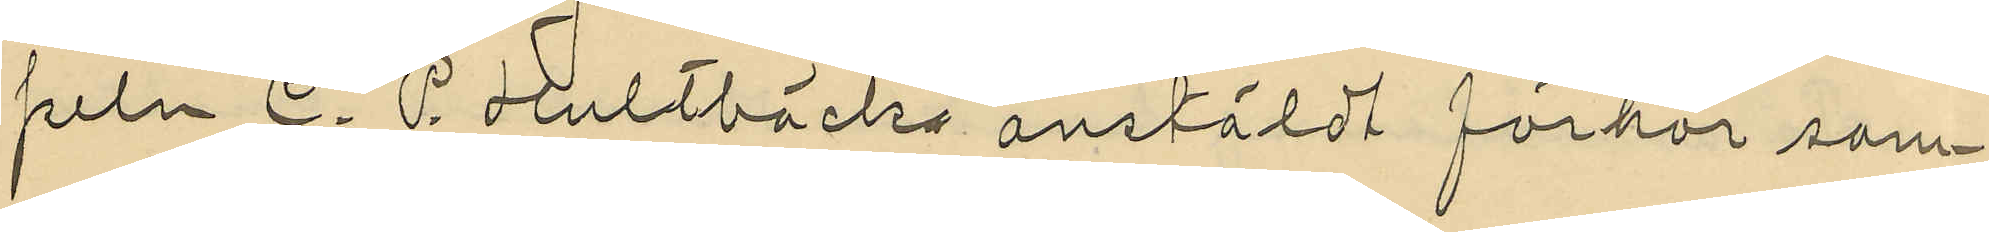peln C. P. Hultbäcks anstäldt förhör sam¬
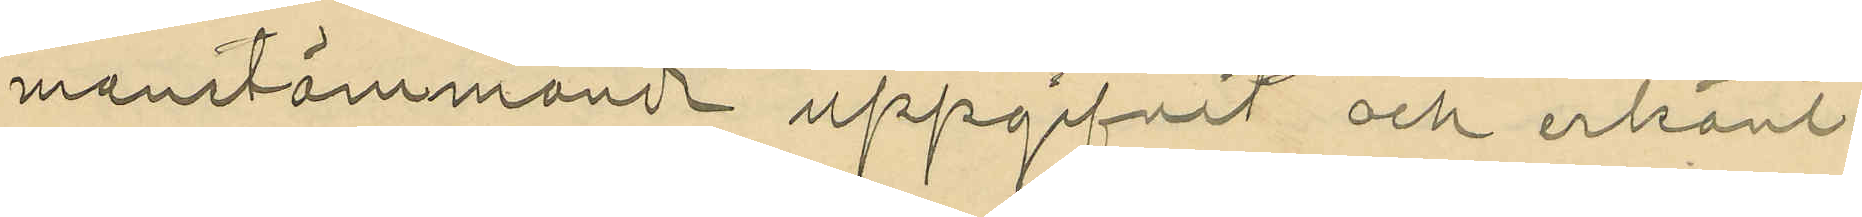manstämmande uppgifvit och erkänt
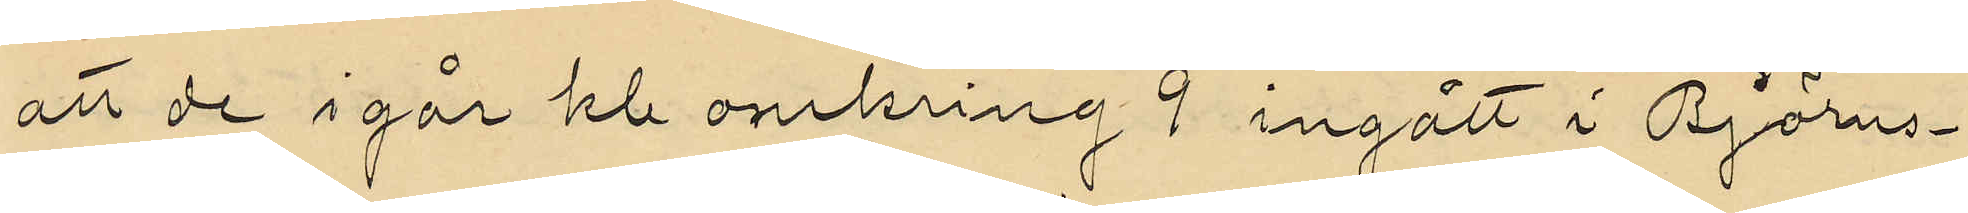att de i går kl omkring 9 ingått i Björns¬
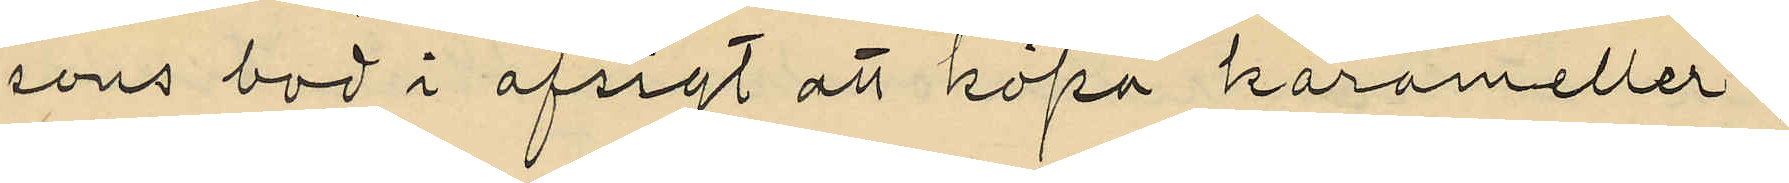sons bod i afsigt att köpa karameller;
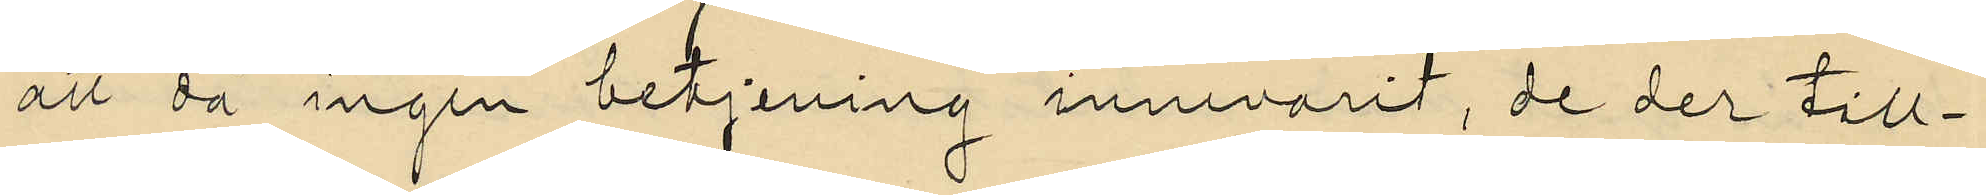att då ingen betjening innevarit, de der till¬
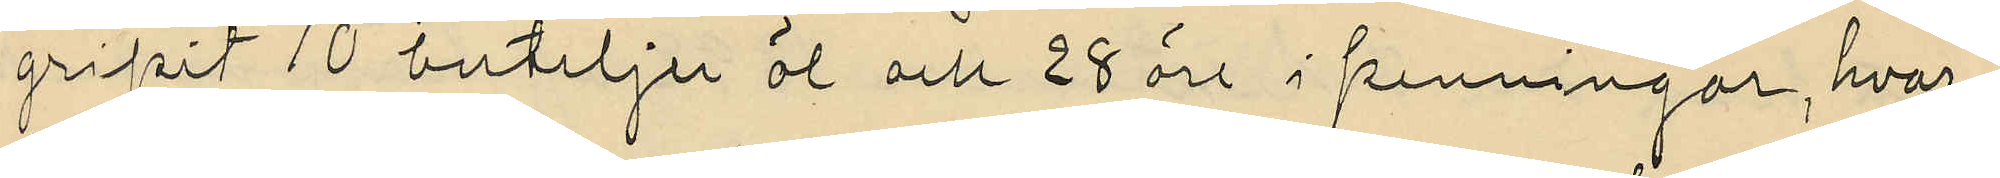gripit 10 buteljer öl och 28 öre i penningar, hvar¬
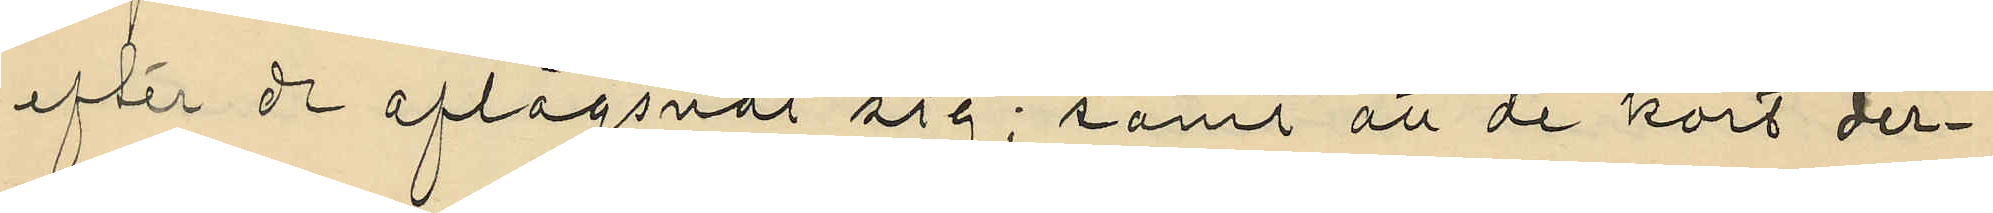efter de aflägsnat sig; samt att de kort der¬
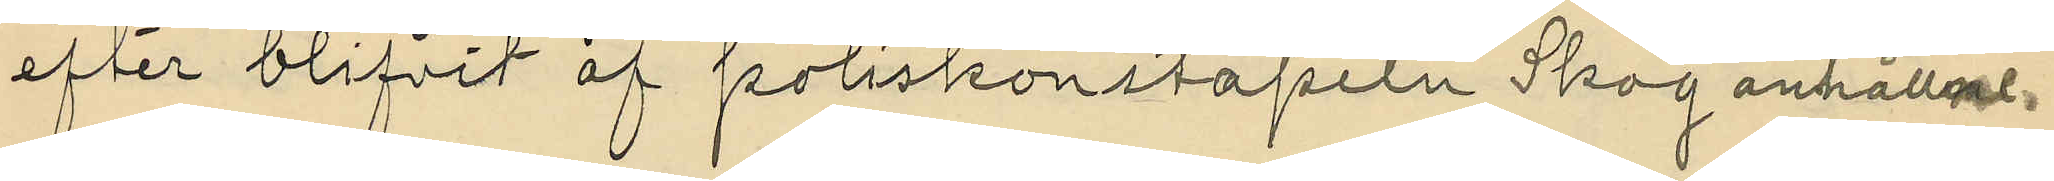efter blifvit af poliskonstapeln Skog anhållne.
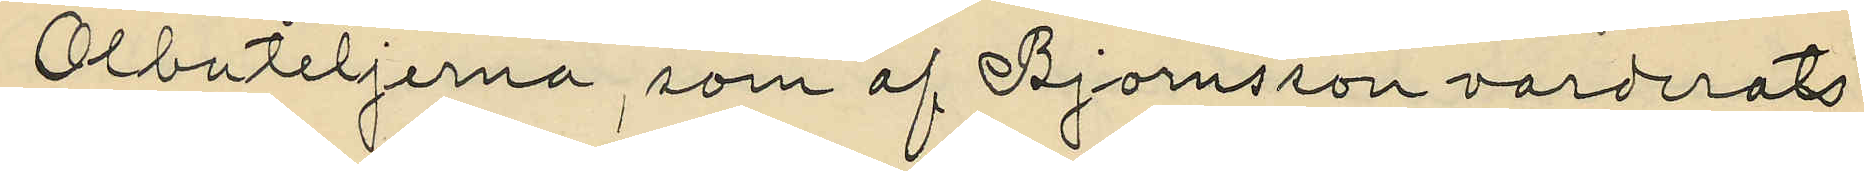Ölbuteljerna, som af Björnsson varderats
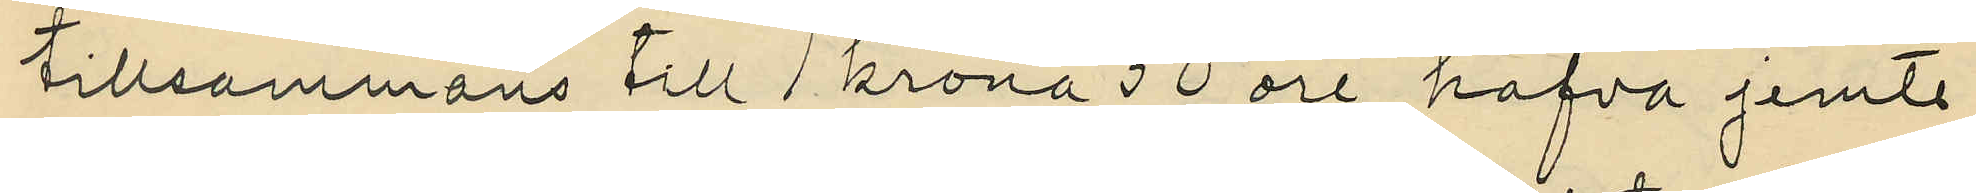tillsammans till 1 krona 50 öre, hafva jemte
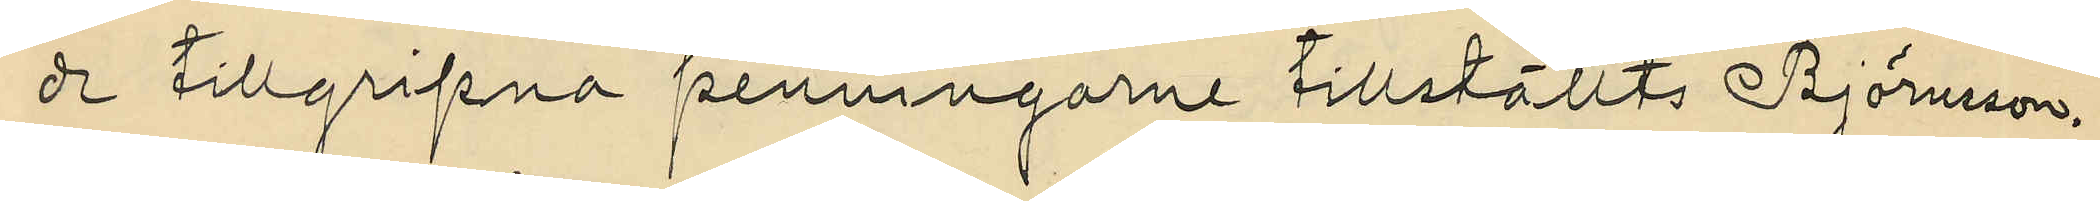de tillgripna penningarne tillställts Björnsson.
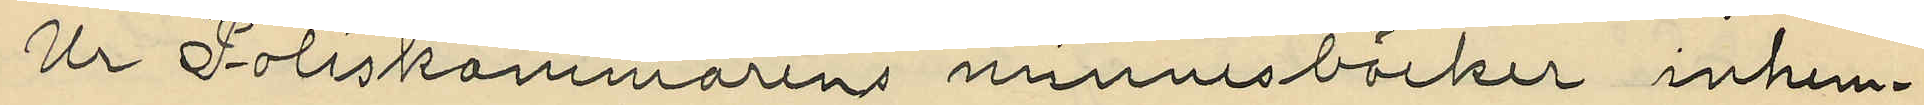Ur Poliskammarens minnesböcker inhem¬
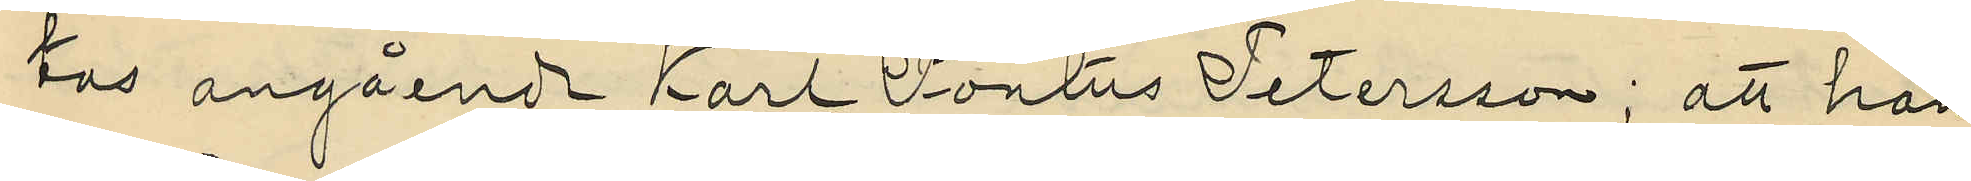tas angående Karl Pontus Petersson; att han
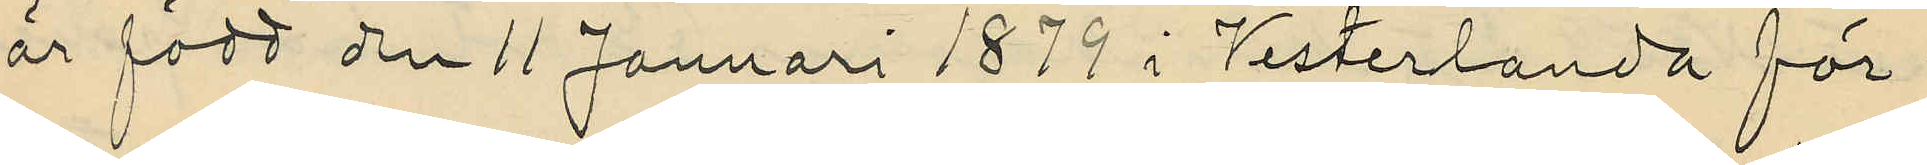är född den 11 Januari 1879 i Vesterlanda för¬
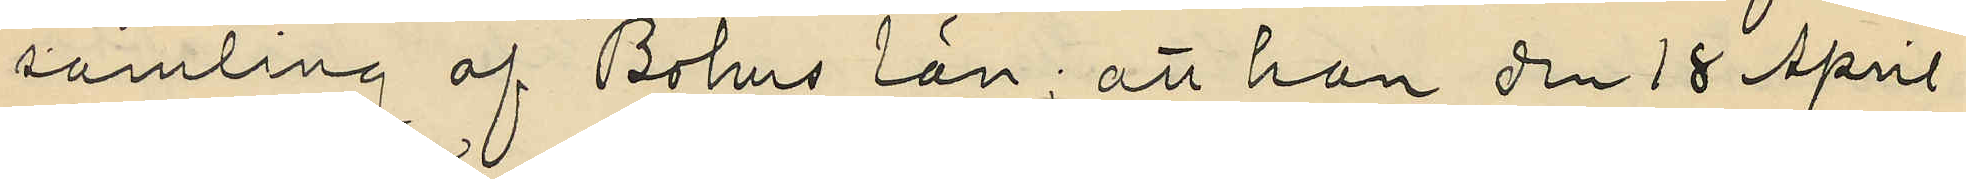samling af Bohus län; att han den 18 April
